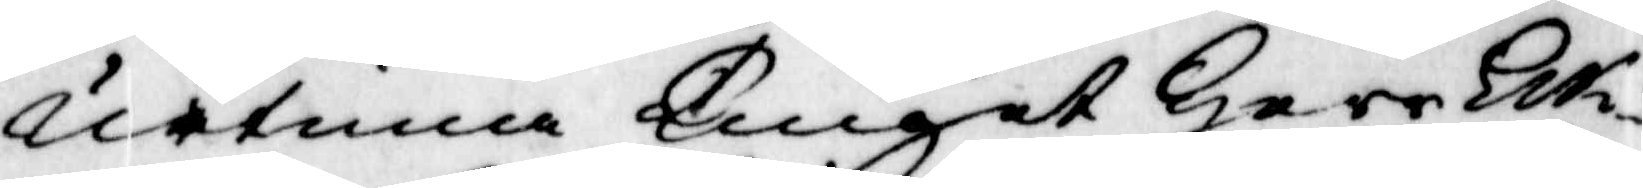urtima Tinget Herr Ek¬
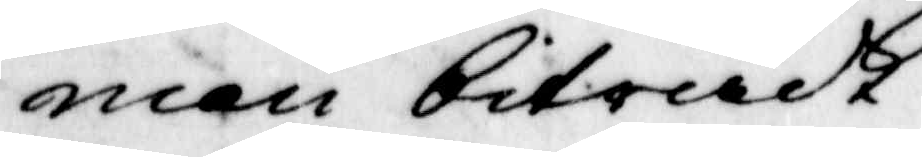man biträdt.
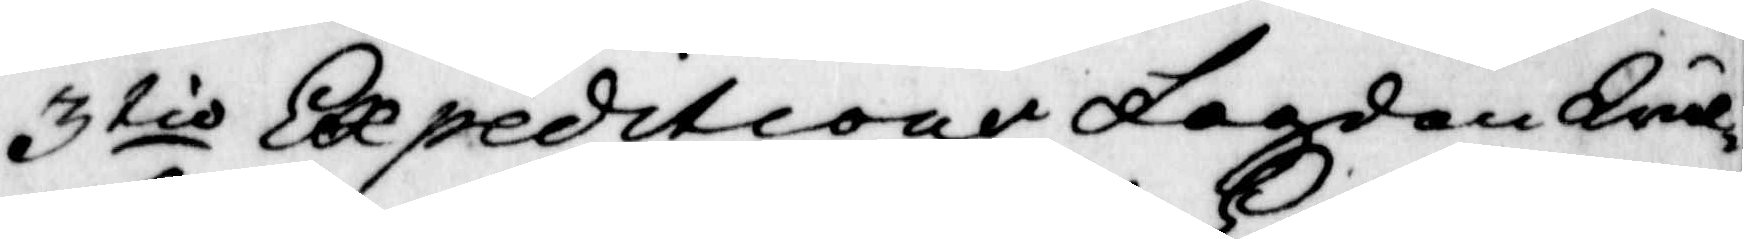3tio Expeditione fogden Wäl¬
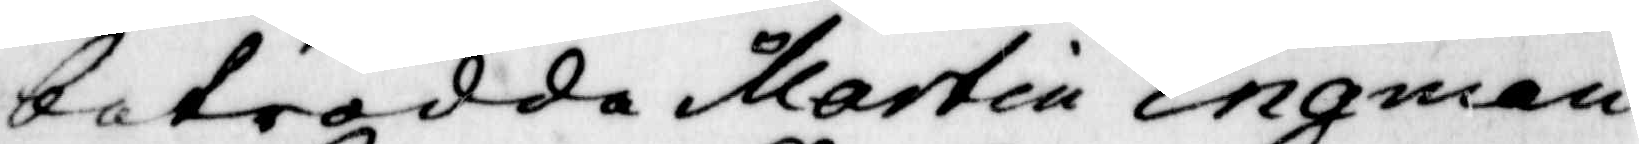betrodda martin Engman.
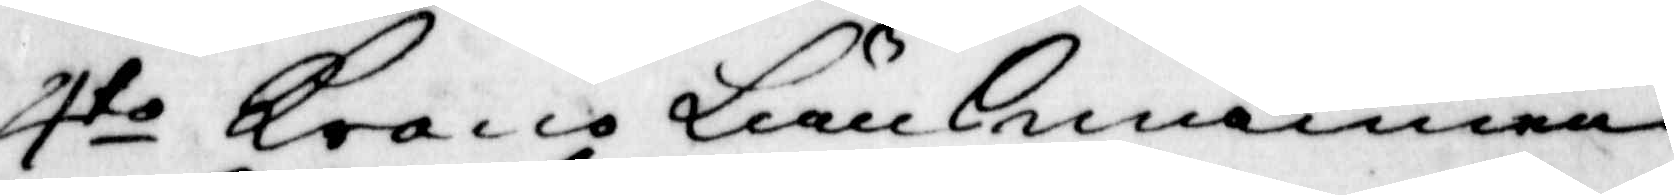4to Krono Länsmannen
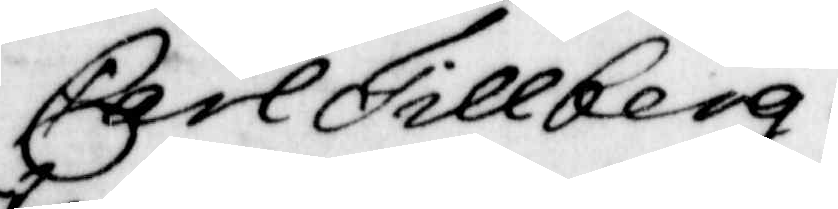Carl Tillberg.
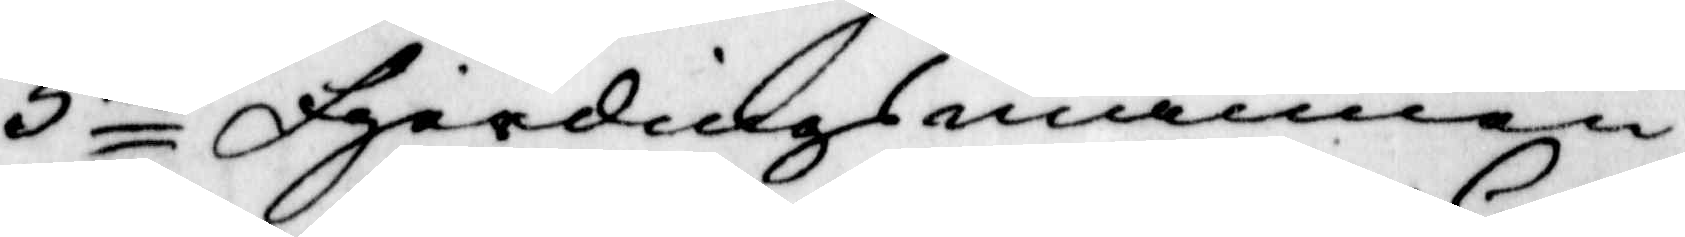5to Fjärdinsmännen
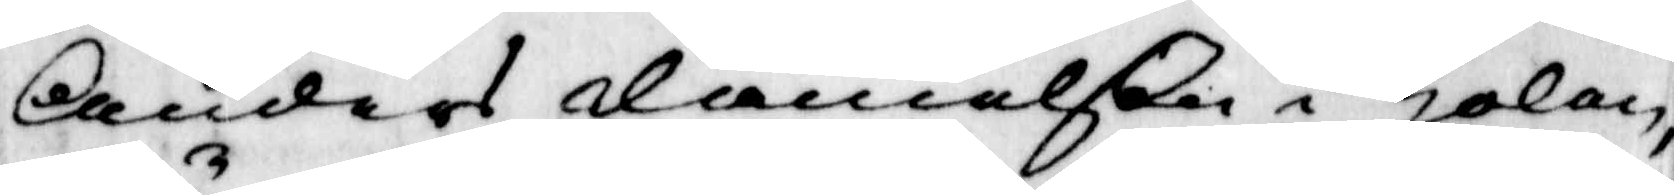Anders danielßon i Holan,
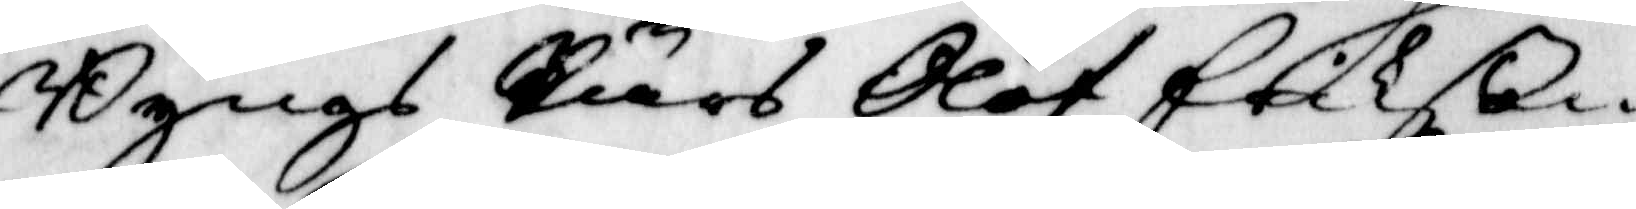Byngs Pärs Olof Erikßon
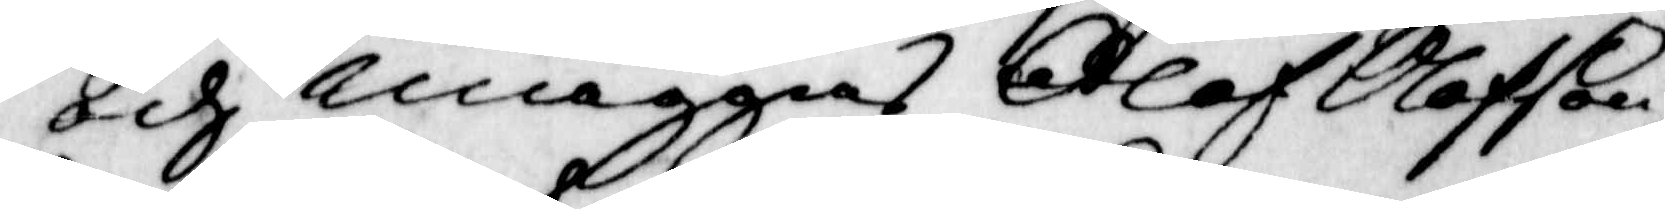och Maggas Olof Olofson,
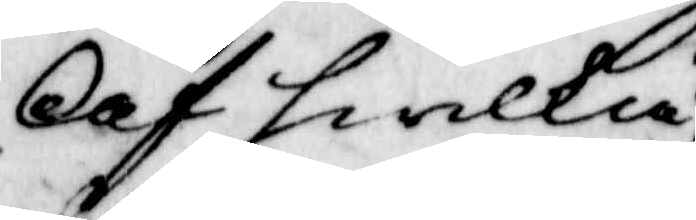Af hwilka
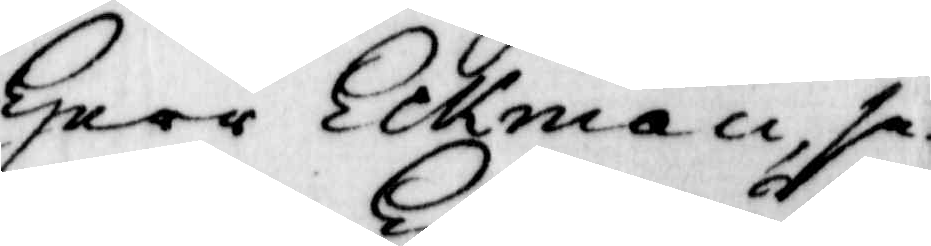herr Eckman se¬
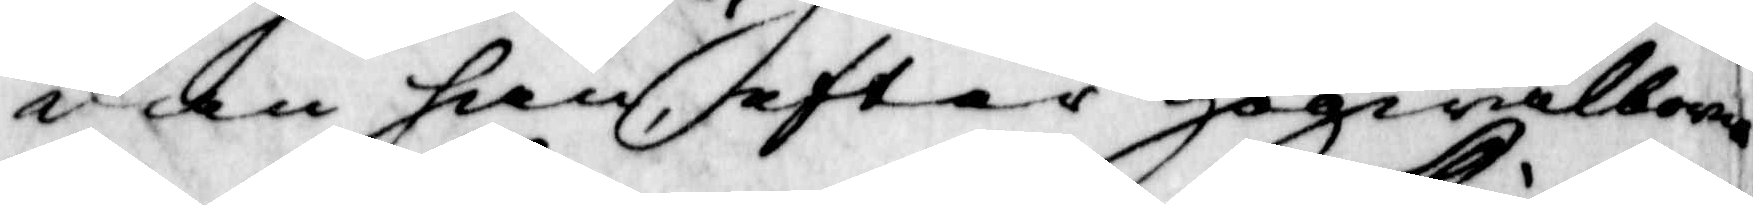dan han, efyer Högwälborne
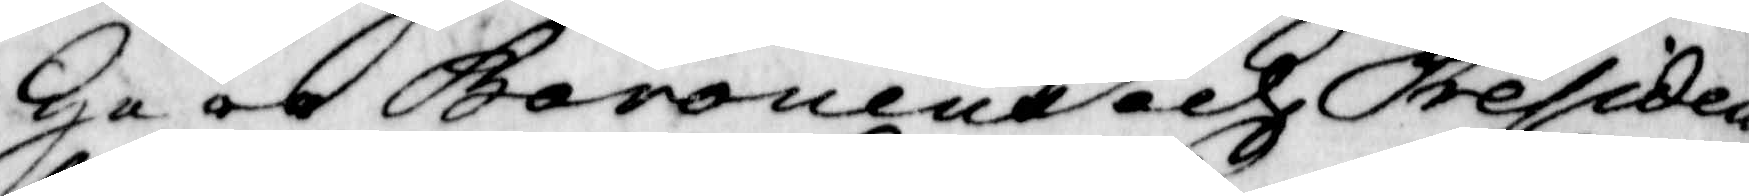Herr Baronen och Presiden¬
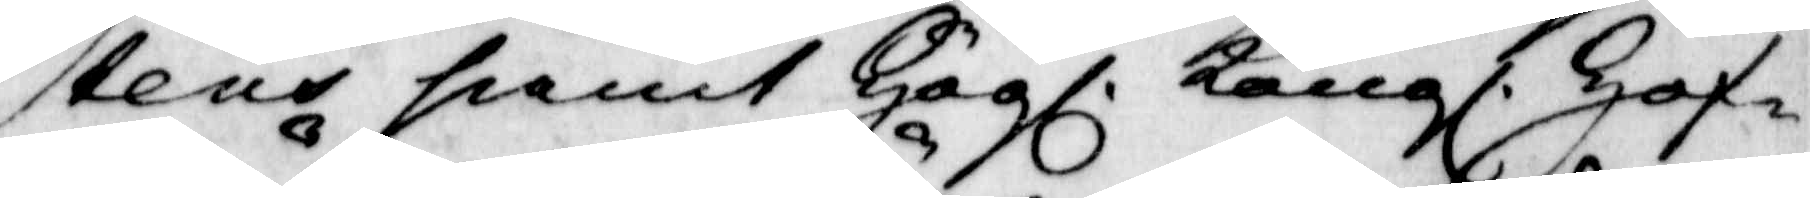tens samt Högl. Kongl. Hof¬
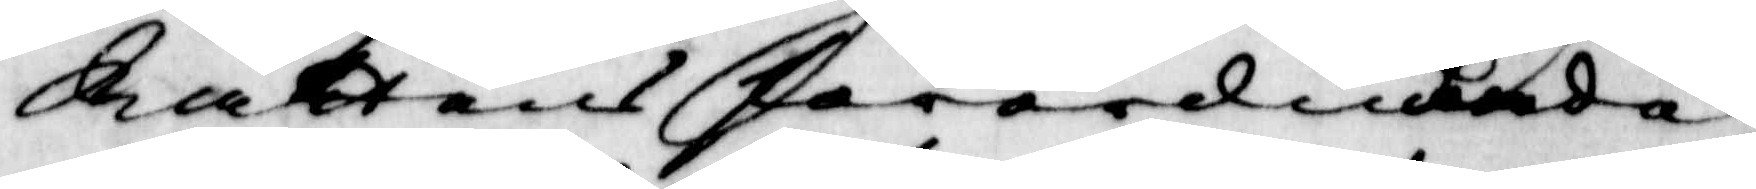Rättens förordnande
